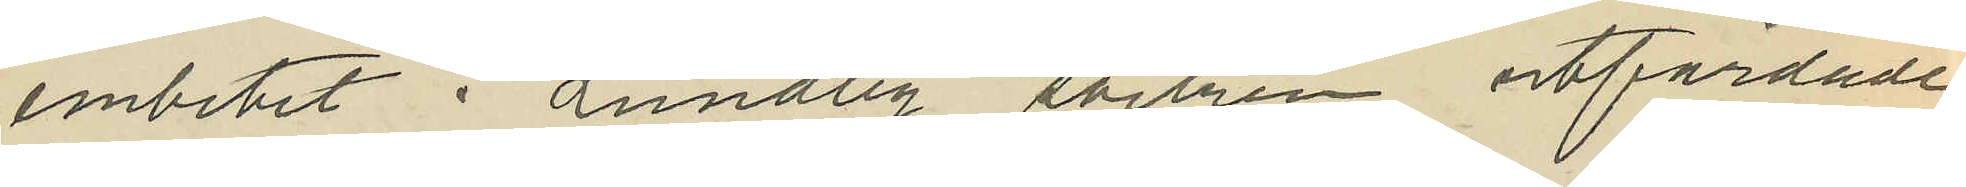embetet i Lundby socken utfärdade
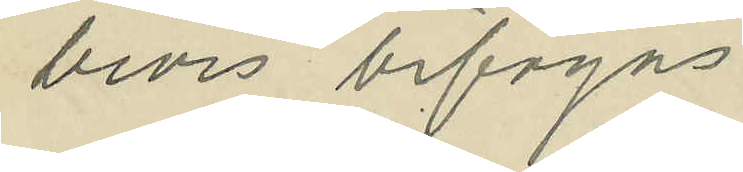bevis bifogas.
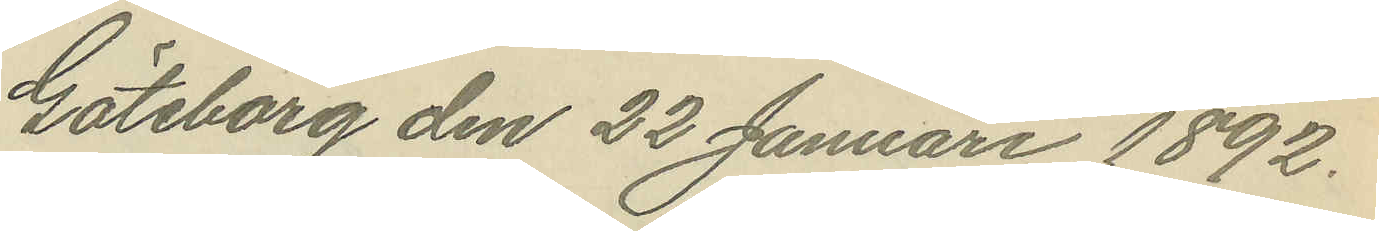Göteborg den 22 Januari 1892.
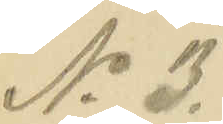No 3.
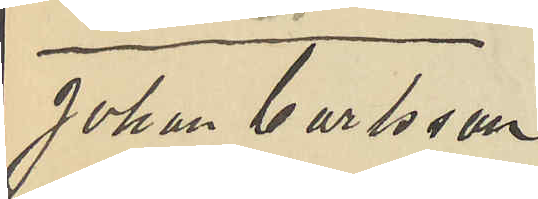Johan Carlsson
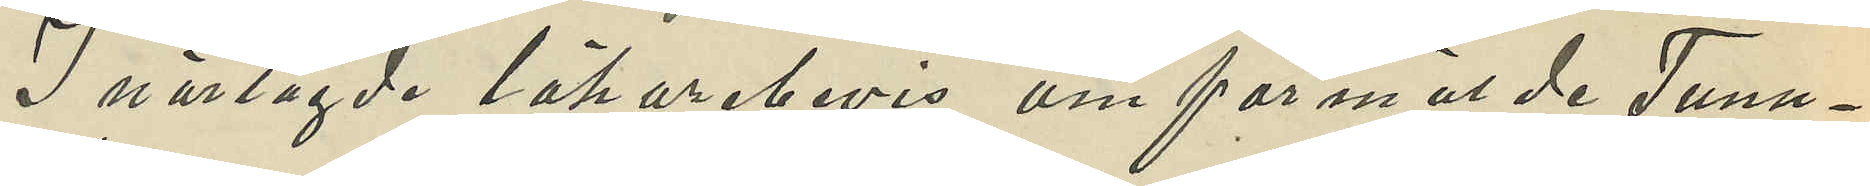I närlagde läkarebevis om förmälde Tunn¬
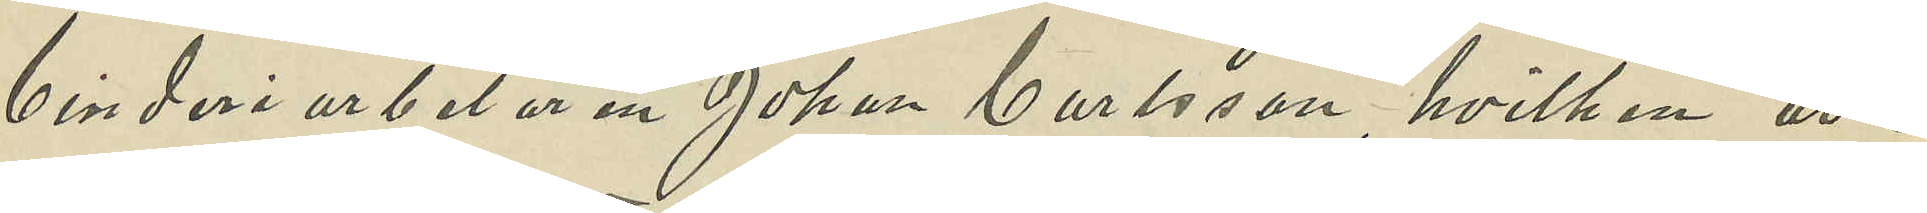binderi arbetaren Johan Carlsson, hvilken är i
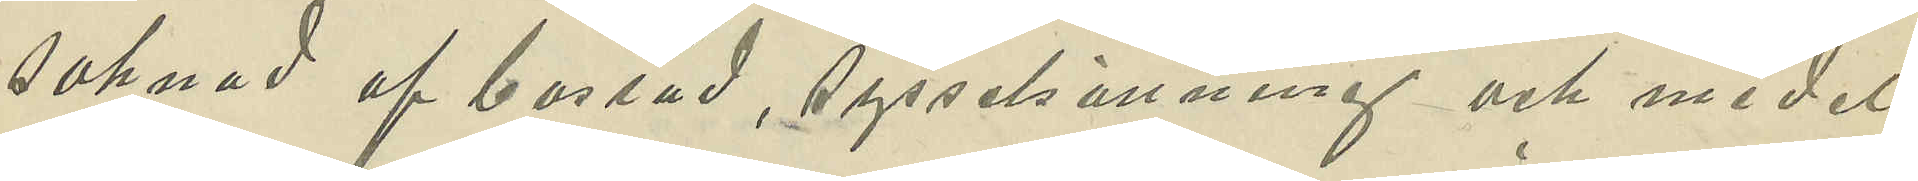saknad af bostad, sysselsättning och medel
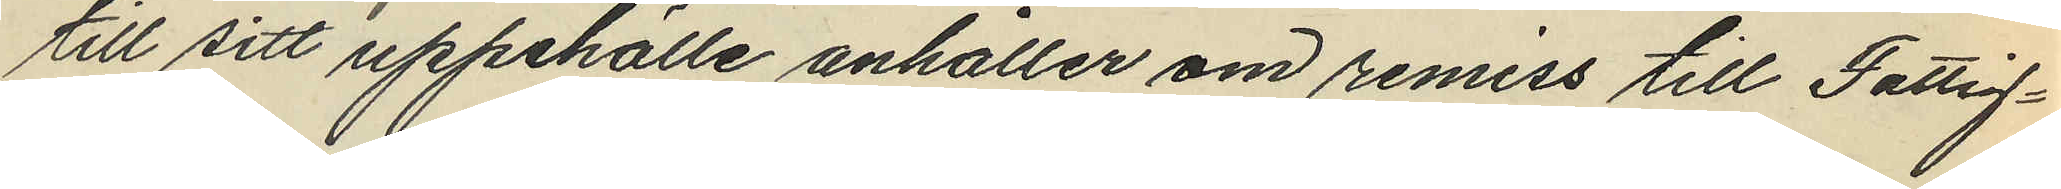till sitt uppehälle anhåller om remiss till Fattig¬
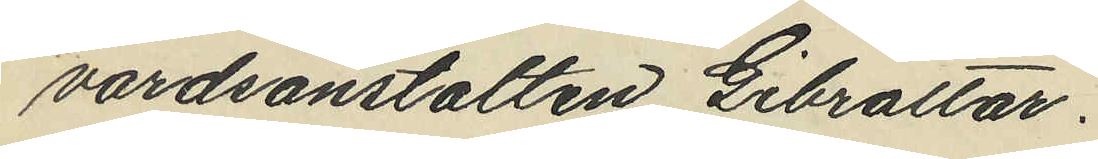vårdsanstalten Gibraltar.
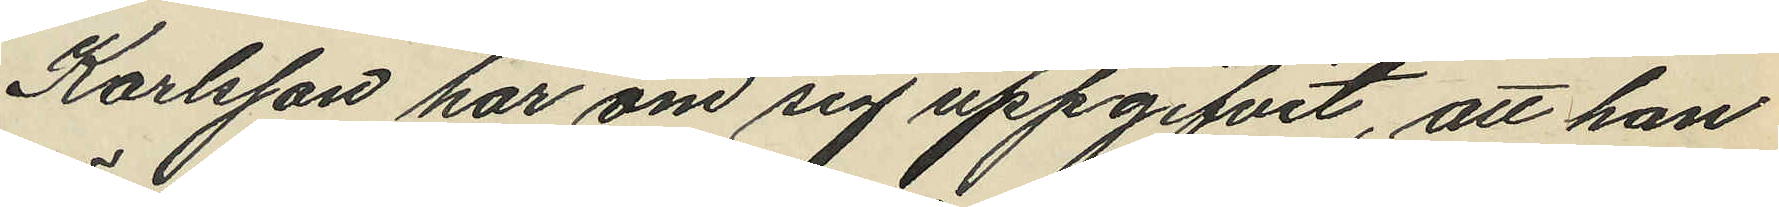Karlsson har om sig uppgifvit, att han
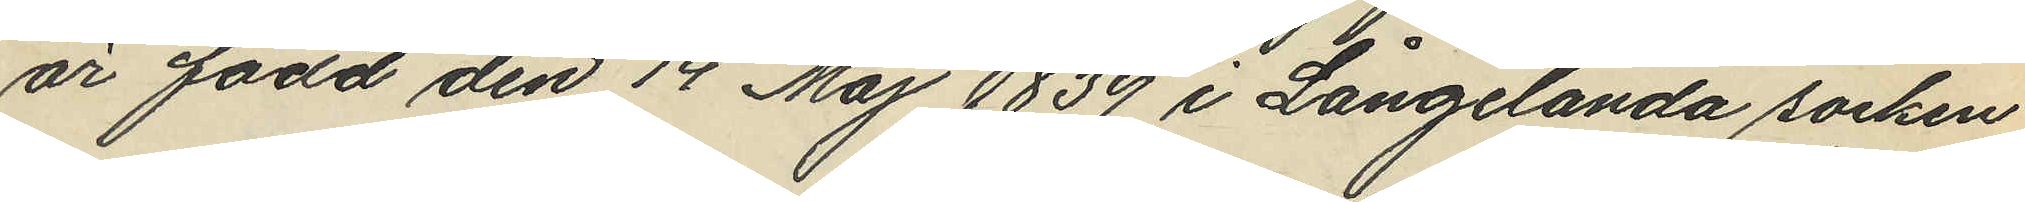är född den 14 Maj 1839 i Långelanda socken
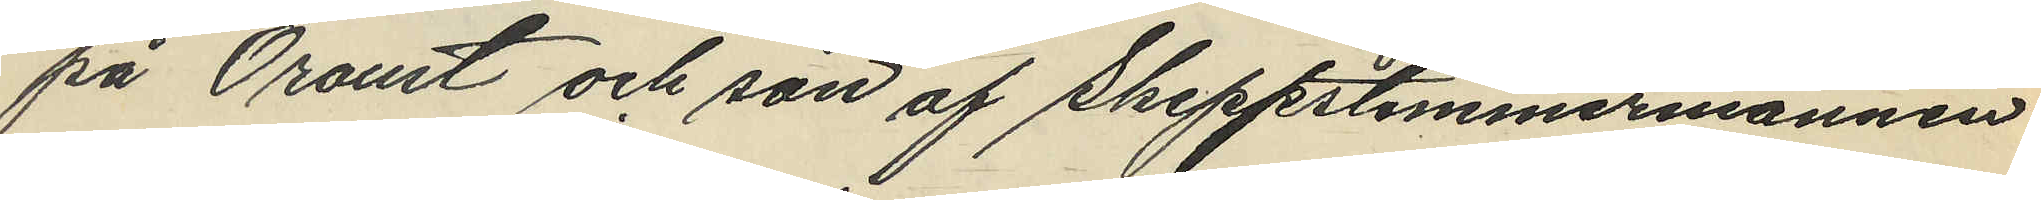på Oroust och son af Skeppstimmermannen
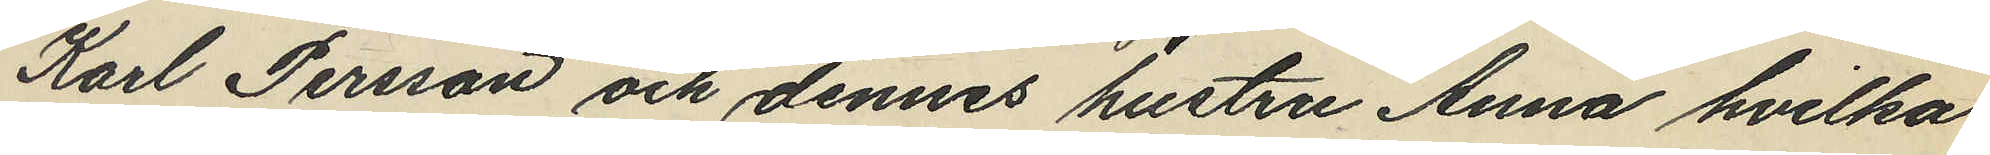Karl Persson och dennes hustru Anna hvilka
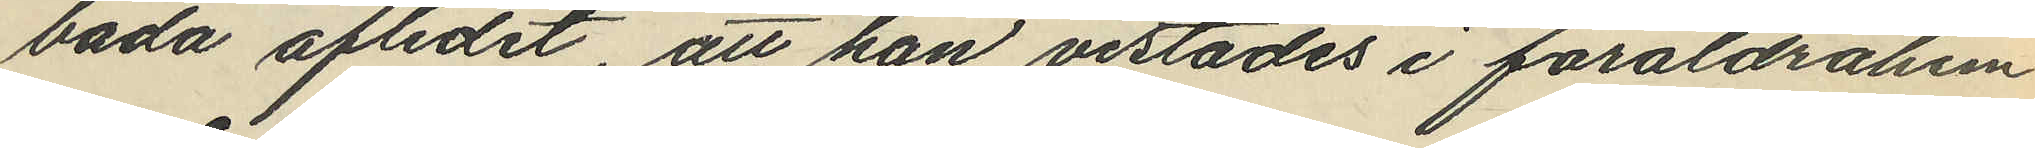båda aflidit, att han vistades i föräldrahem
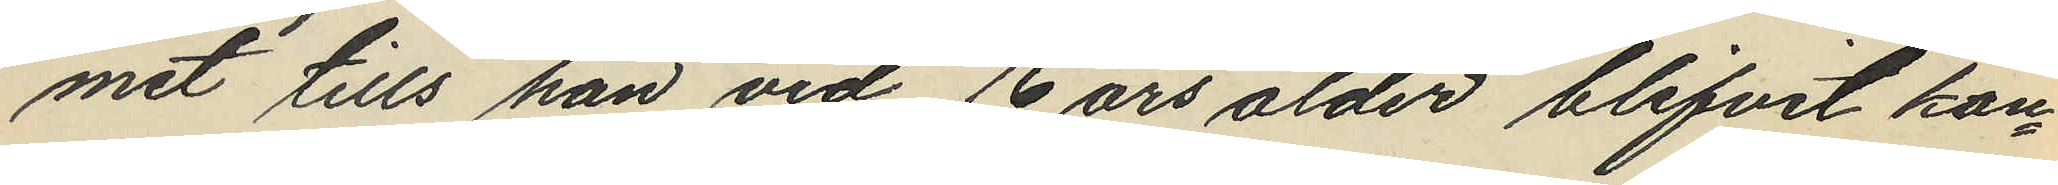met tills han vid 16 års ålder blifvit kon¬
